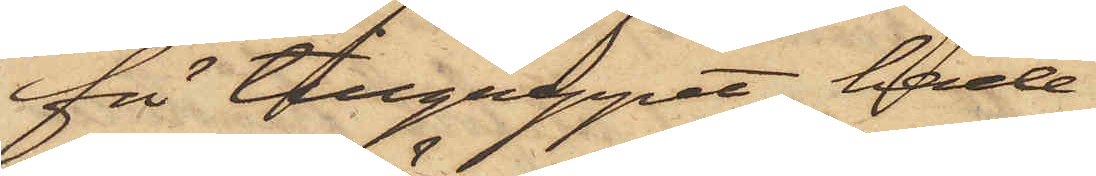för tillgreppet hade
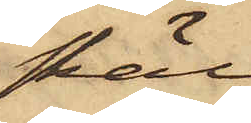skäl
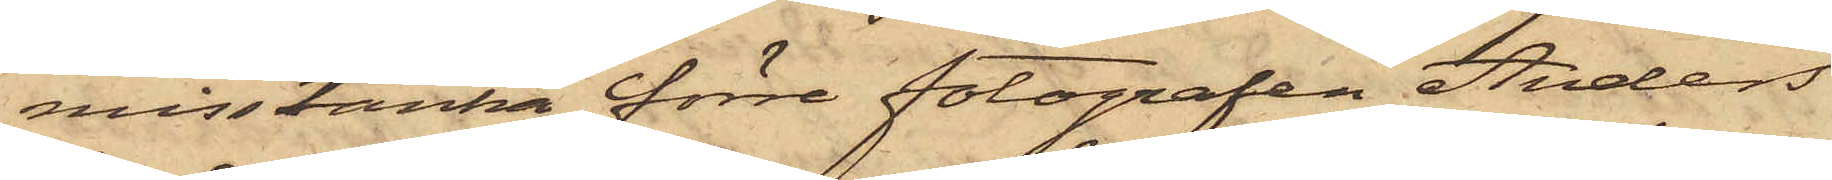misstänka förre fotografen Anders
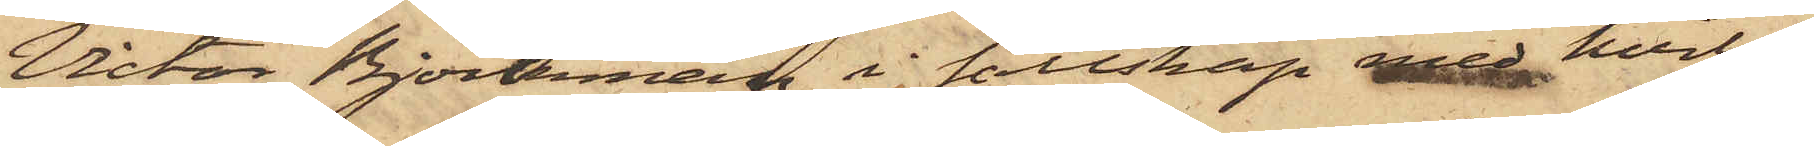Victor Björkman, i sällskap med hvil¬
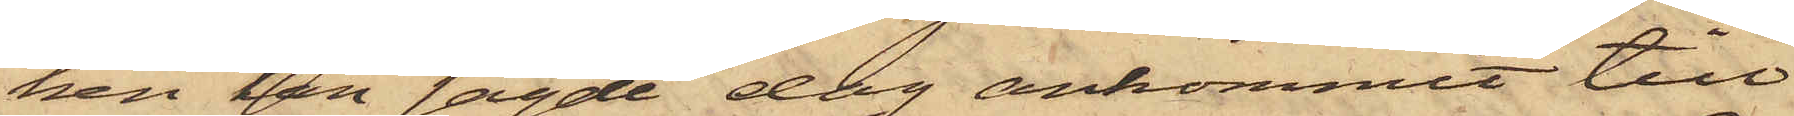ken han sagde dag ankommit till
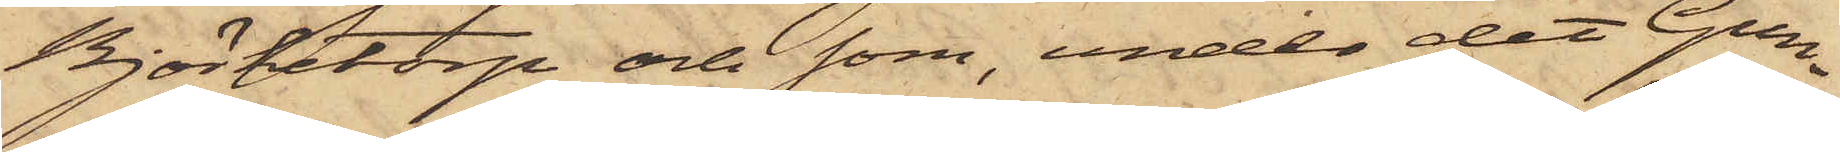Björketorp och som, under det Gun¬
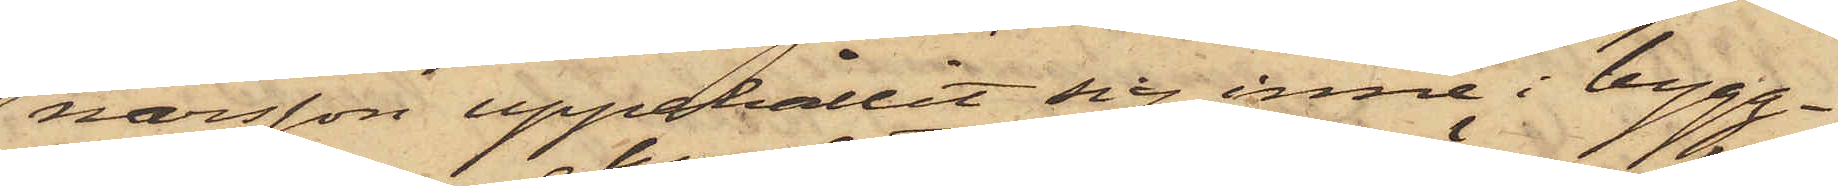narsson uppehållit sig inne i bygg¬
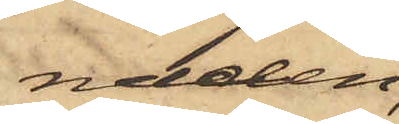naden,
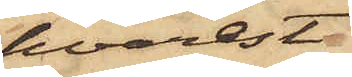hvarest
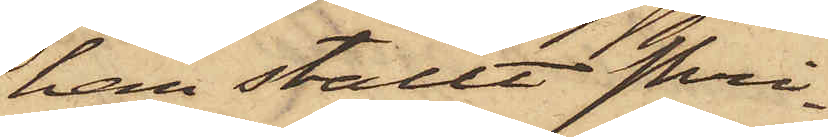han ställt skri¬
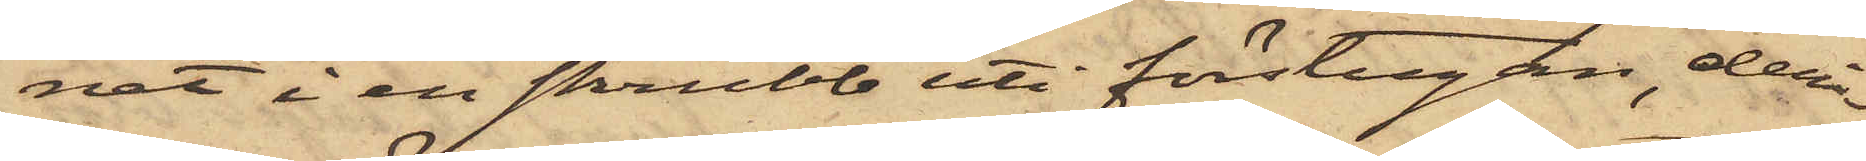net i en skrubb uti förstugan, deri¬
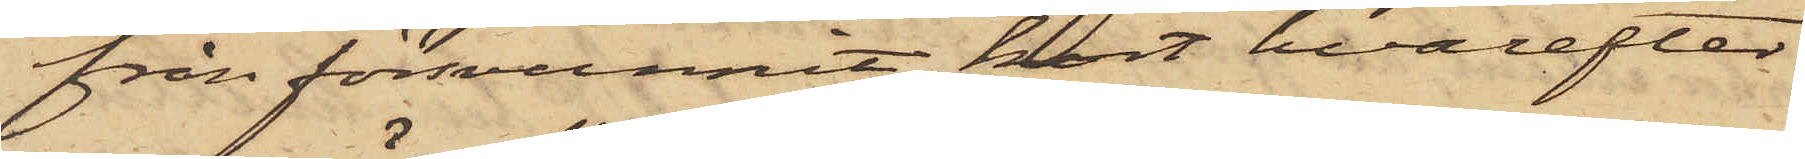från försvunnit, kort hvarefter
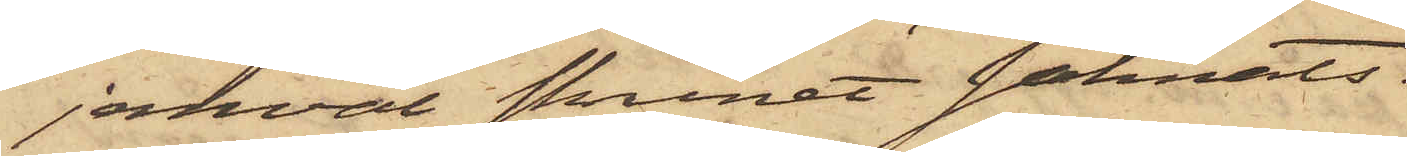jemväl skrinet saknats.
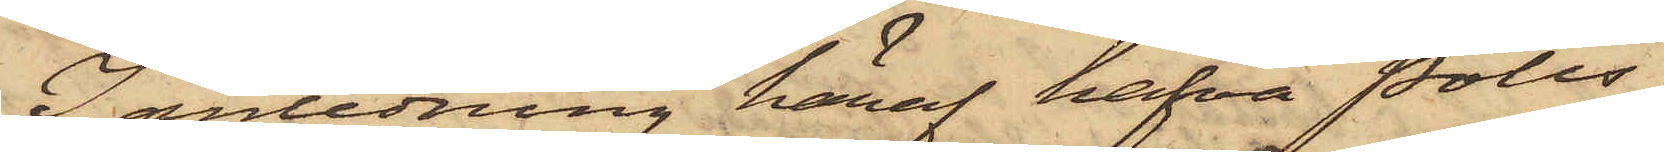I anledning häraf hafva Polis¬
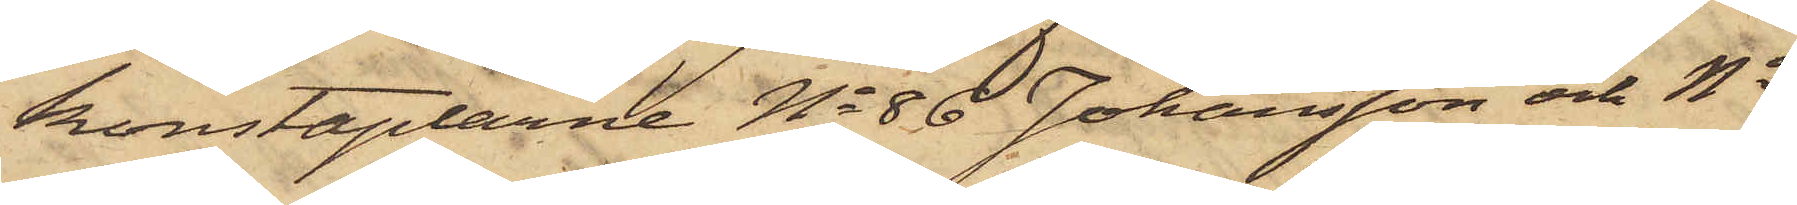konstaplarne No 86 Johansson och No
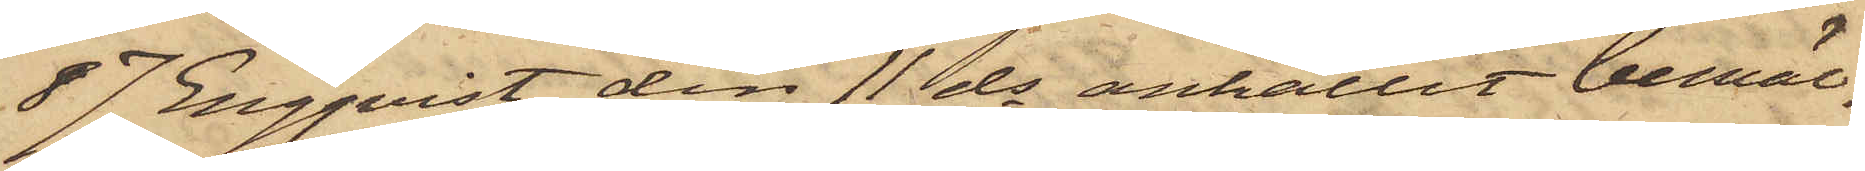87 Engqvist den 11 ds anhållit bemäl¬
